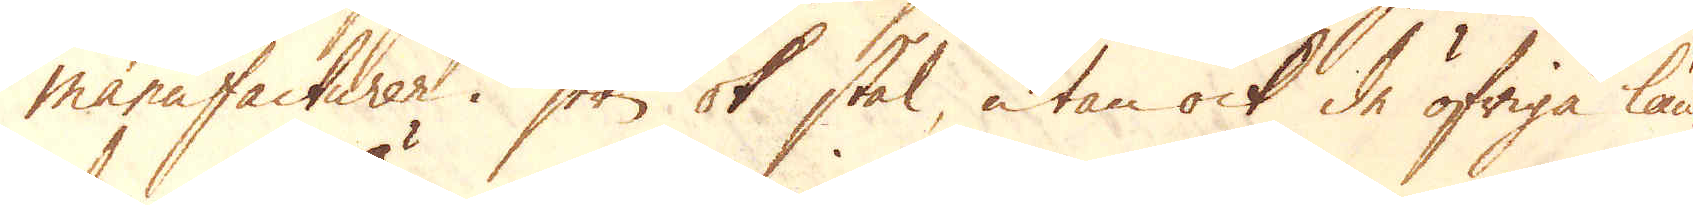manufacturer i jern ok stål, utan ock de öfriga län-
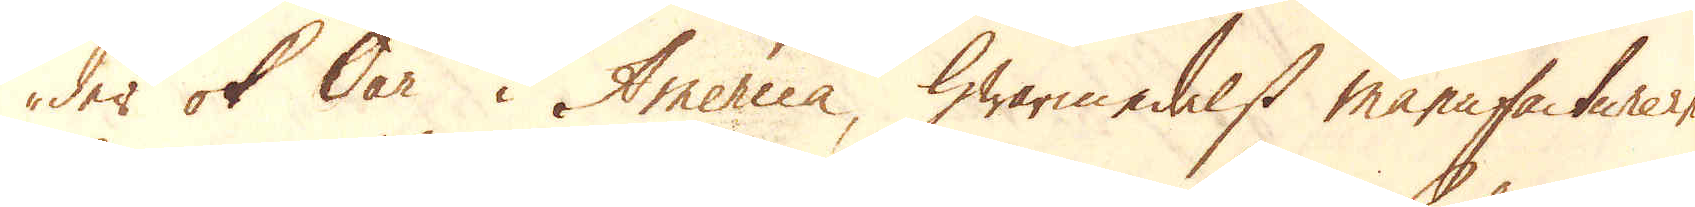der ok Öar i America, hwarmedelst manufacturerne
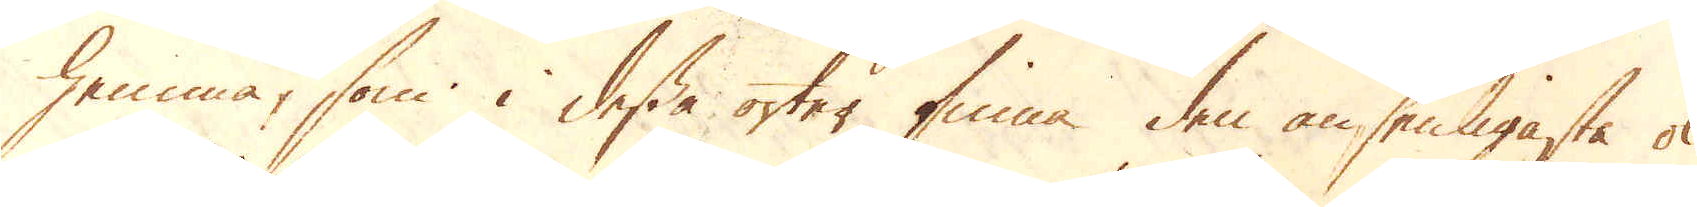hemma, som i desse orter finna den ansenligaste ok
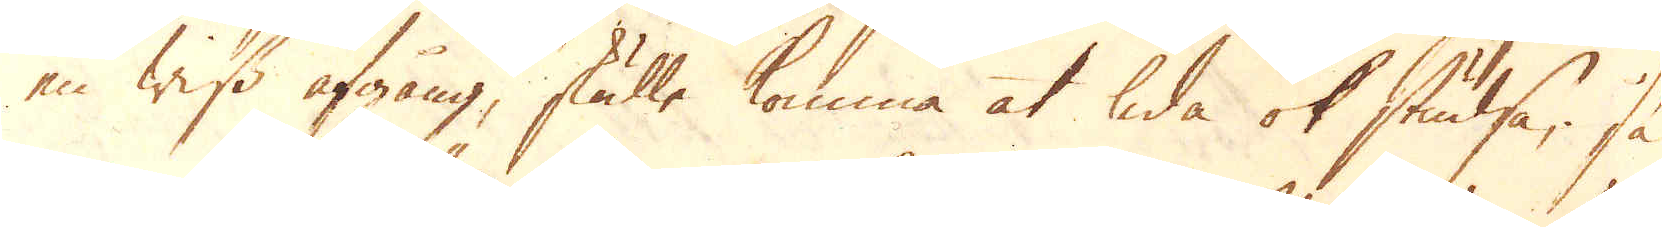en wiss afgång, skulle komma at lida ok studsa; så
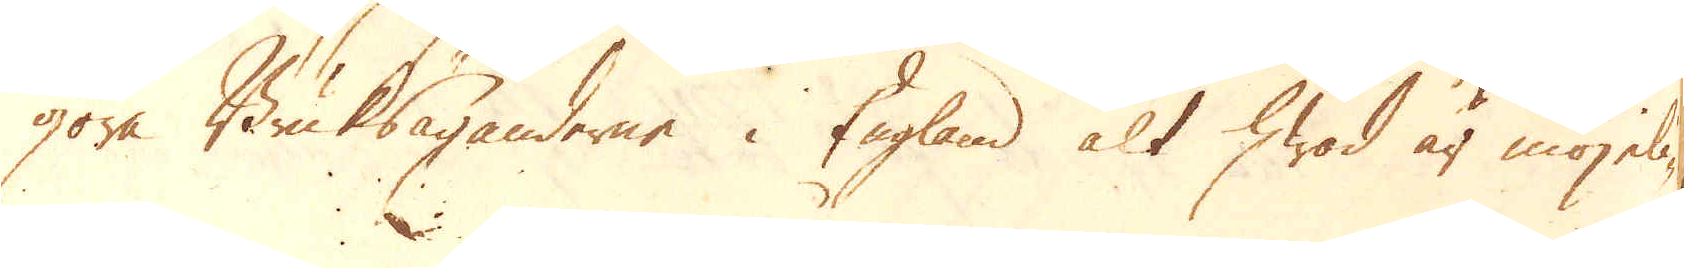göra Bruksäganderne i England alt hwad är möjeli-
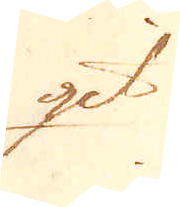git
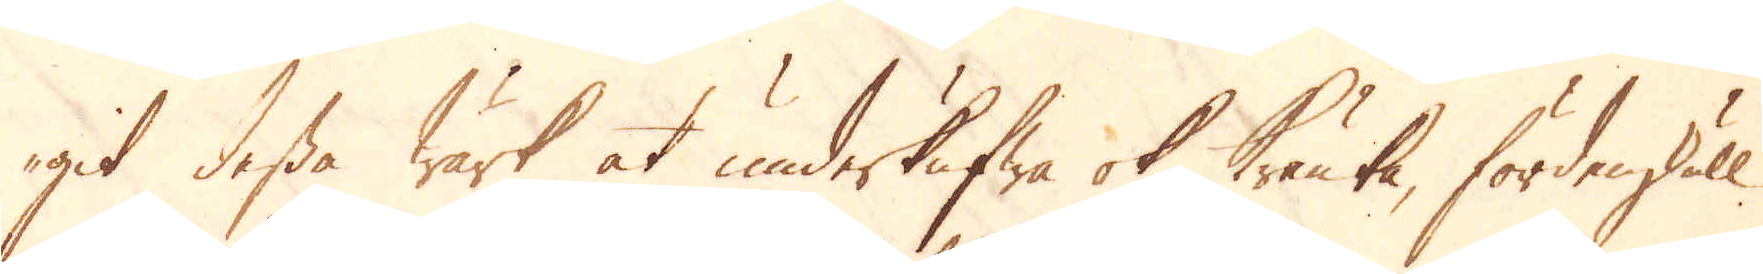git dessa Wärk at underkufwa ok kränka, fördenskull
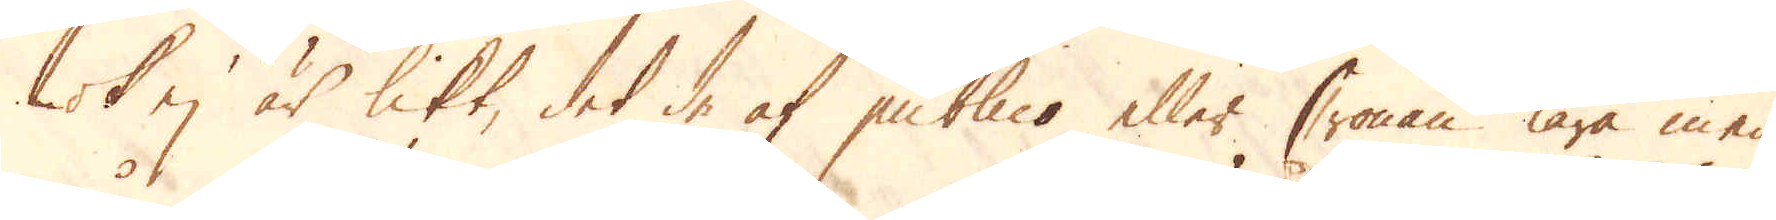ok ej är likt, det de af publico eller Cronan lära med
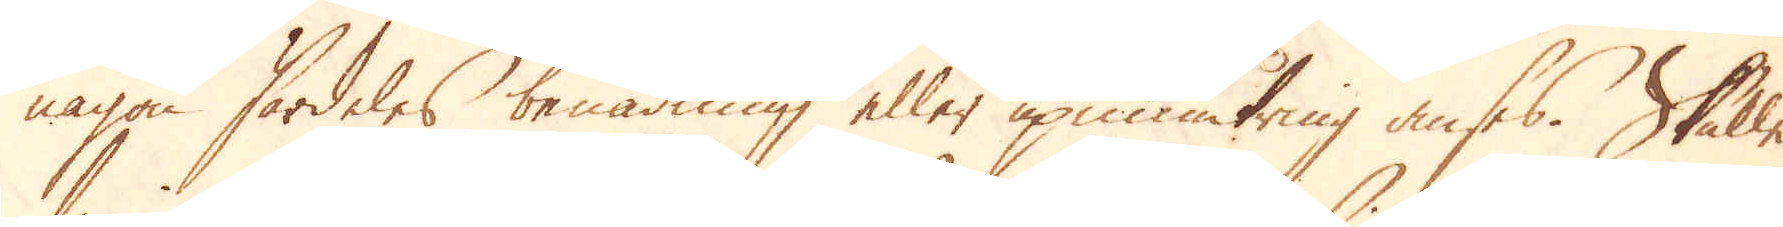någon särdeles benådning eller upmuntring anses. Skulle
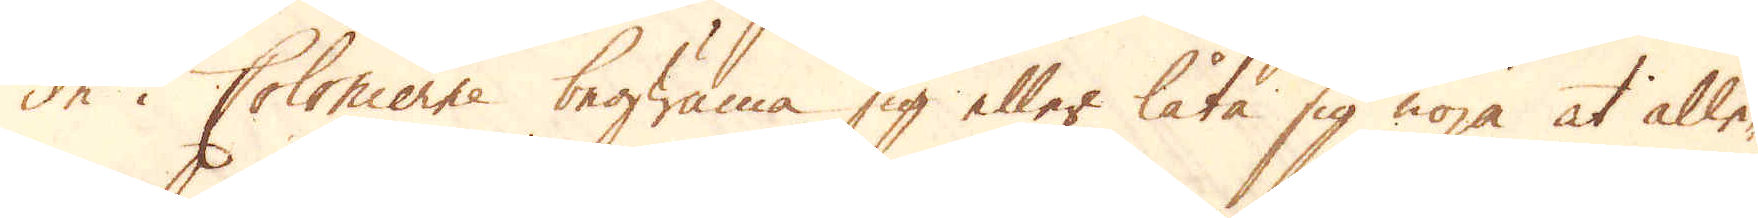de i Colonierne begwäma sig eller låta sig nöja at alle-
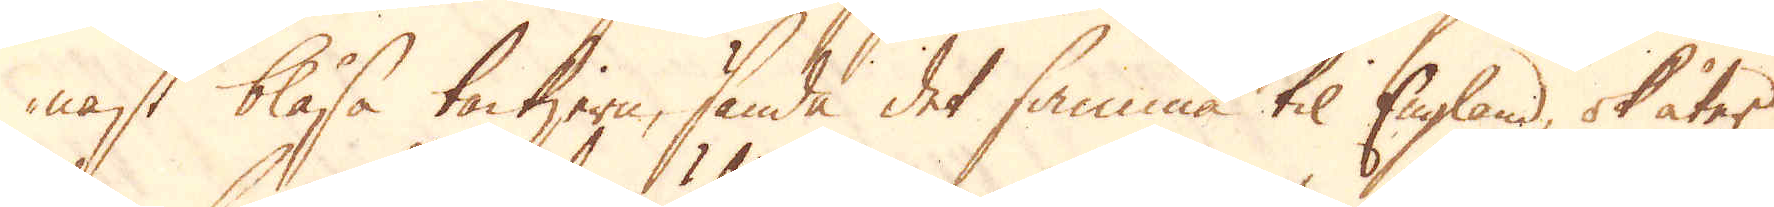nast blåsa tackjern, sända det samma til England, ok åter
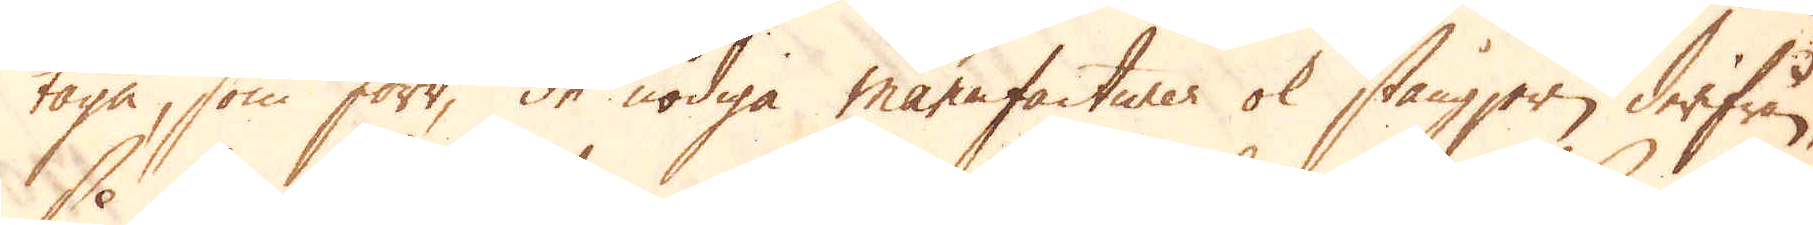taga, som förr, de nödiga manufacturer ok stångjern derifrån,
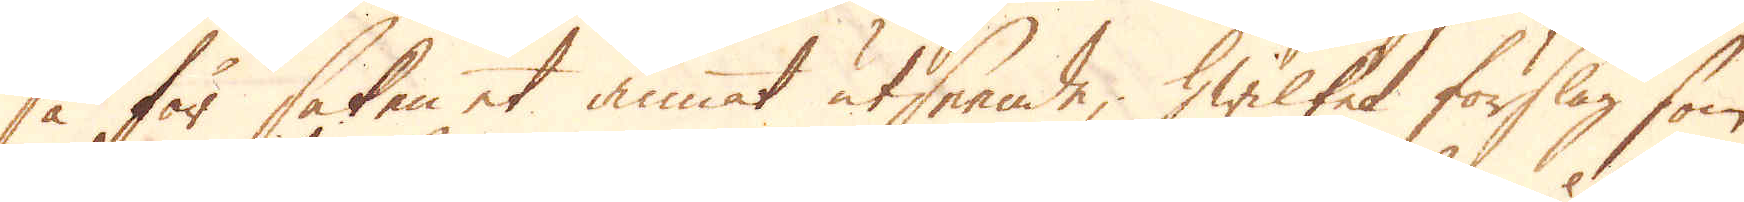så får saken et annat utseende, hwilket förslag som
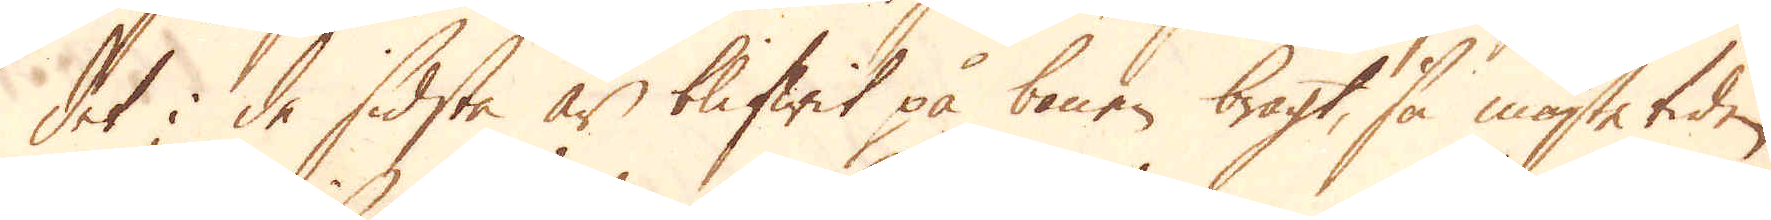det i de sidsta år blifwit på benen bragt, så måste tiden
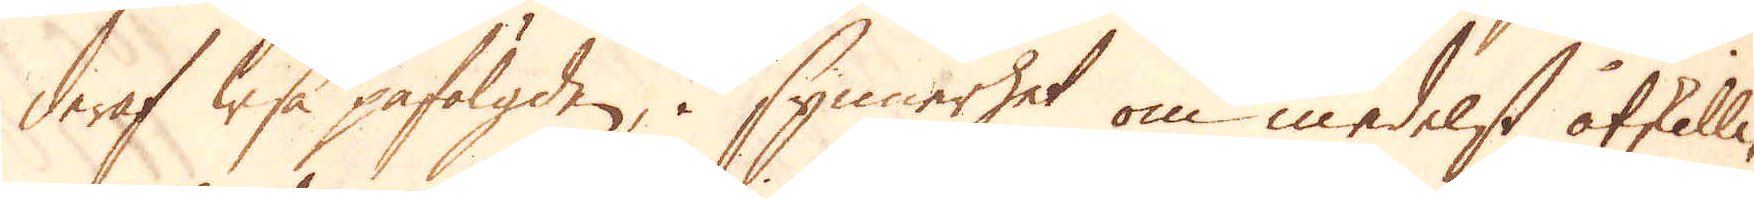deraf wisa påfölgden, i synnerhet om medelst åtskilli-
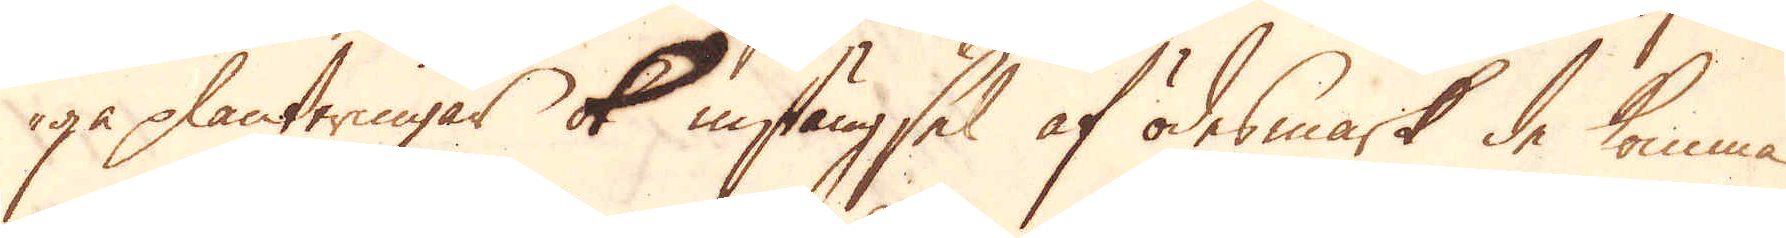ga planteringar ok instängsel af ödesmark de komma
